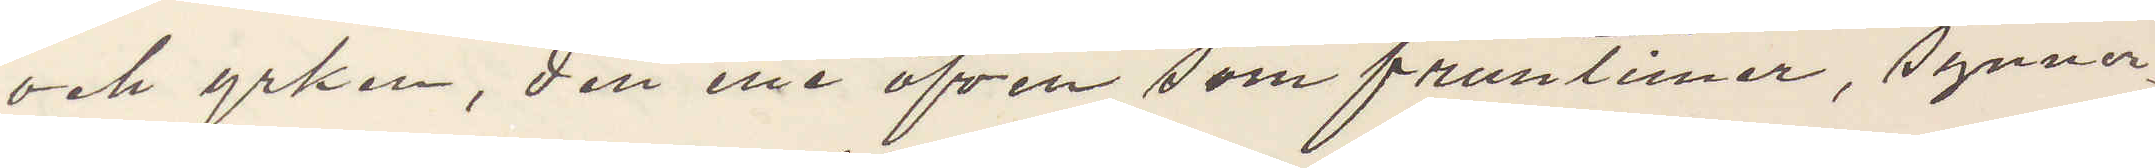och yrken, den ene äfven som fruntimer, synner¬
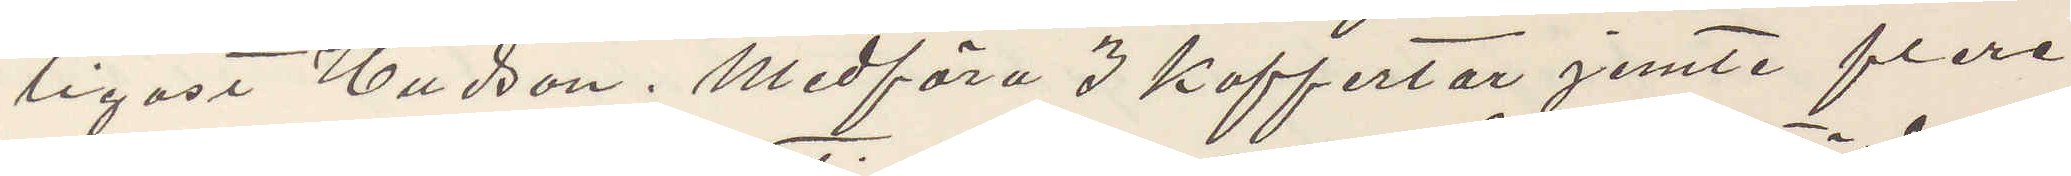ligast Hudson. Medföra 3 koffertar jemte flera
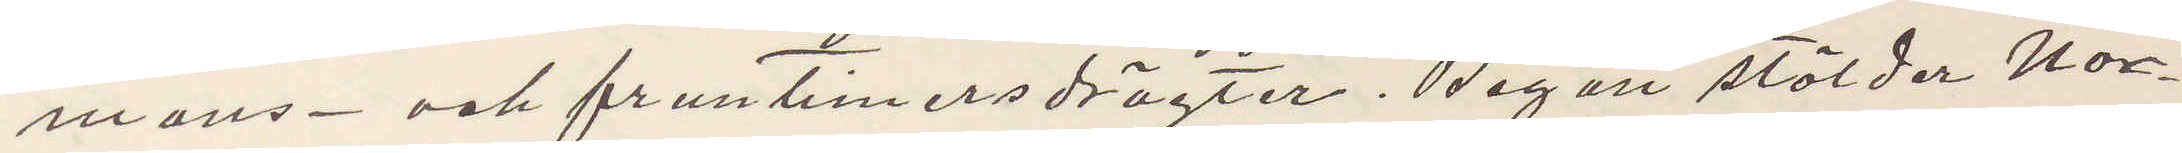mans- och fruntimersdrägter. Begår stölder Nor¬
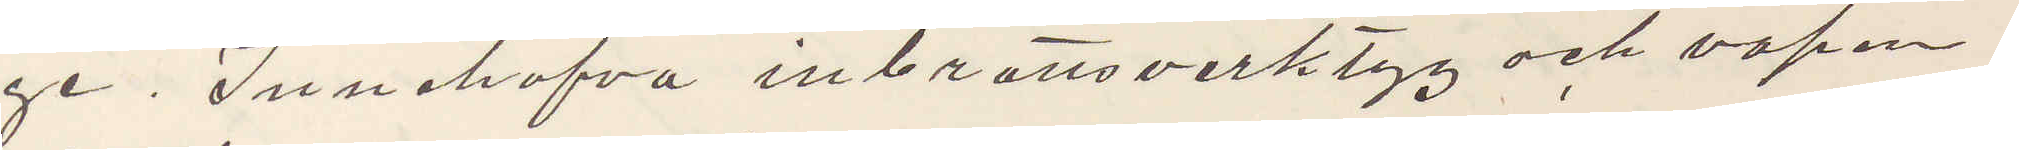ge. Innehafva inbrottsverktyg och vapen
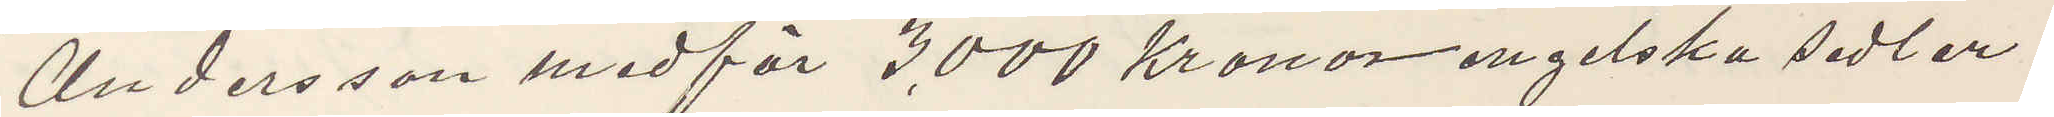Andersson medför 3000 kronor engelska sedlar,
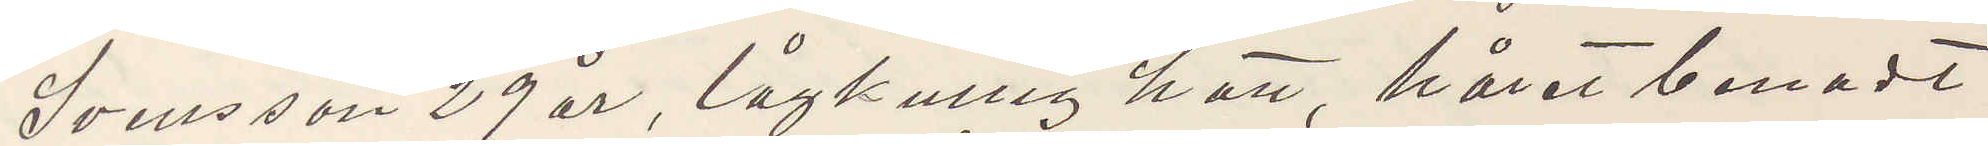Svensson 29 år, lågkullig hatt, håret benadt
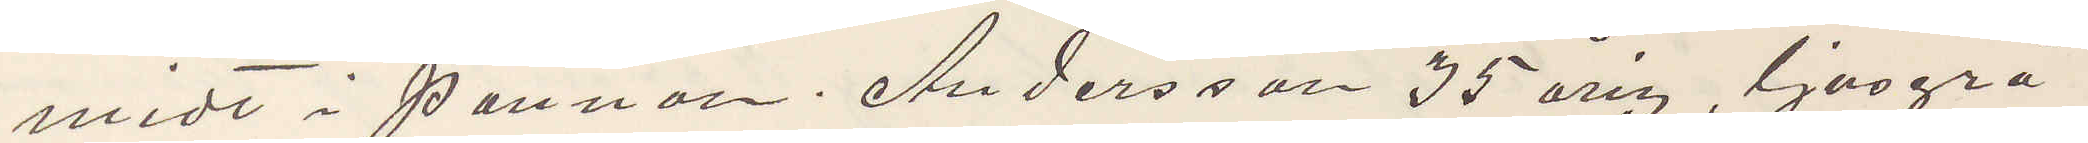midt i pannan. Andersson 35 årig, ljusgrå
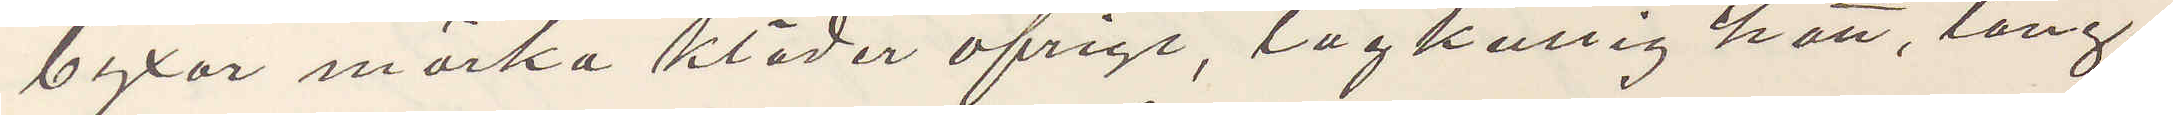byxor mörka kläder öfrigt, lågkullig hatt, lång¬
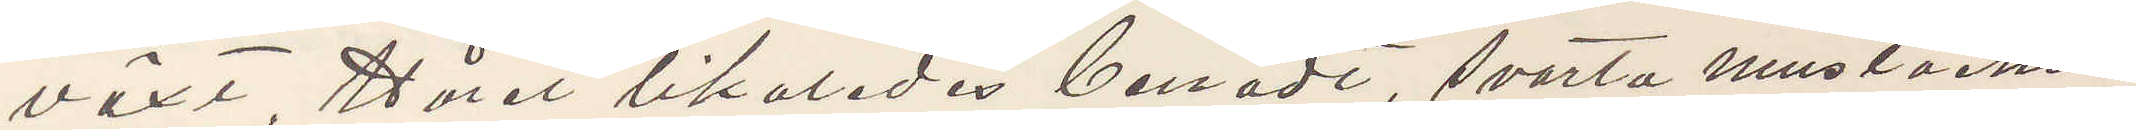växt Håret likaledes benadt, svarta mustacher.
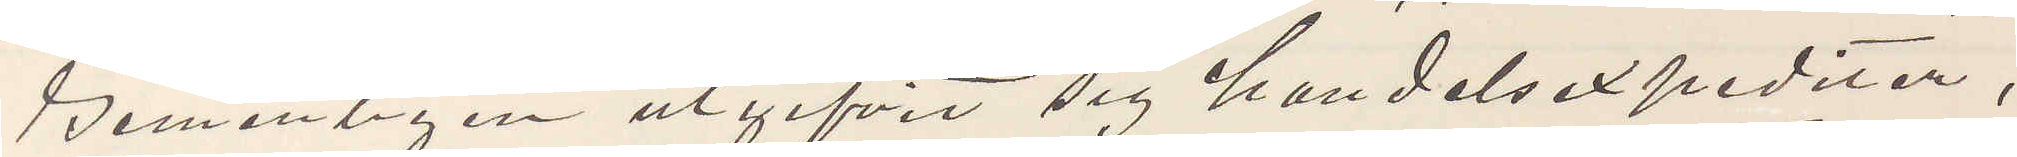Gemenligen utgifvit sig handelsexpediter,
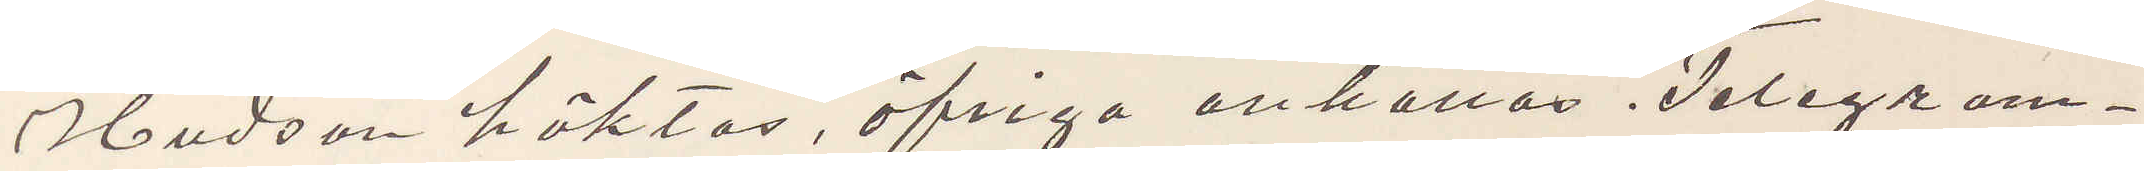Hudson häktas, öfriga anhållas. Telegram¬
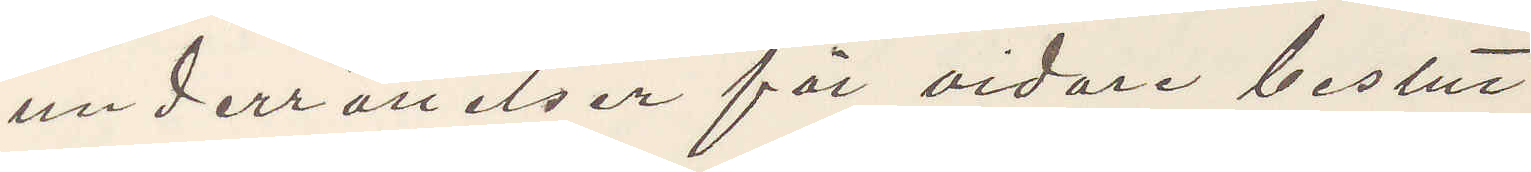underrättelser för vidare beslut.
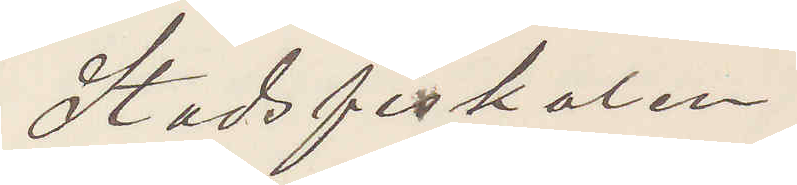Stadsfiskalen
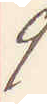9
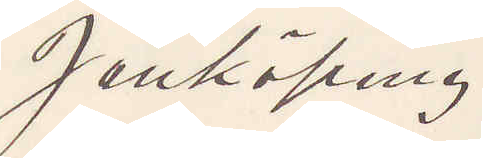Jönköping
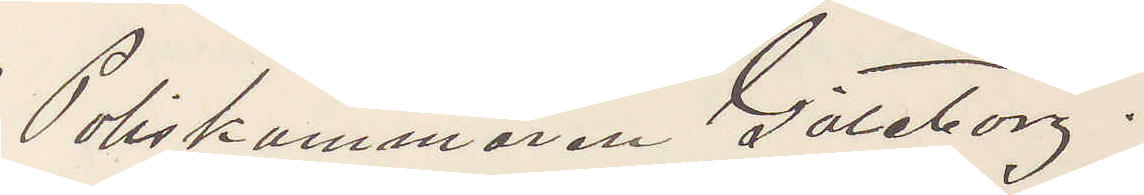Poliskammaren Göteborg.
